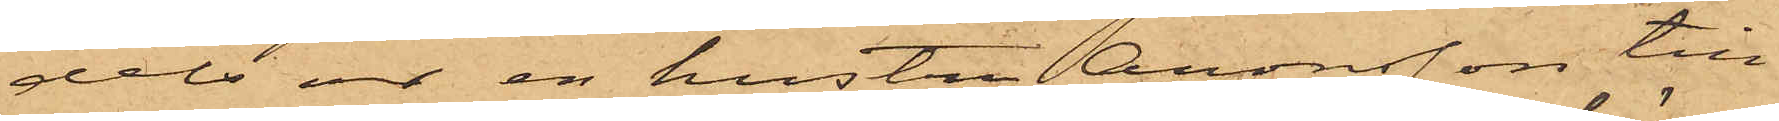dels ur en hustru Aronsson till¬
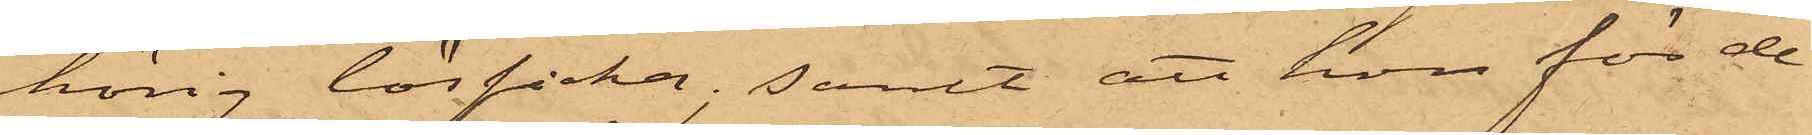hörig lösficka; samt att hon för de
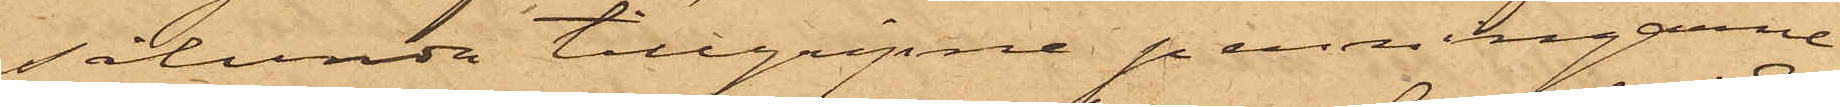sålunda tillgripne penningarne
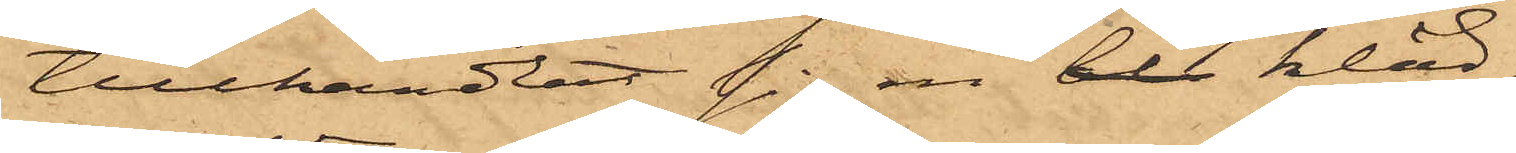tillhandlat sig en bl kläd¬
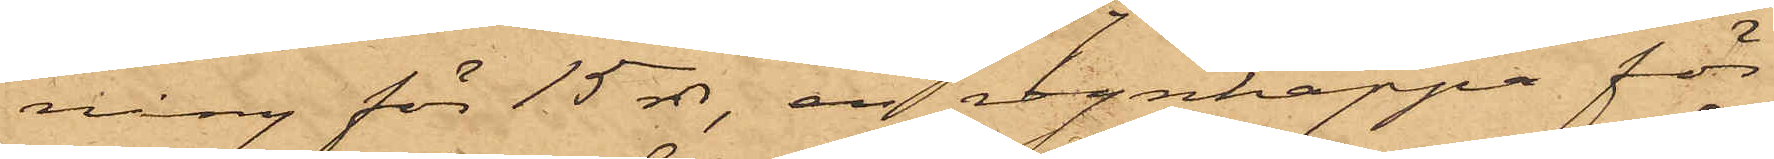ning för 15 rdr, en regnkappa för
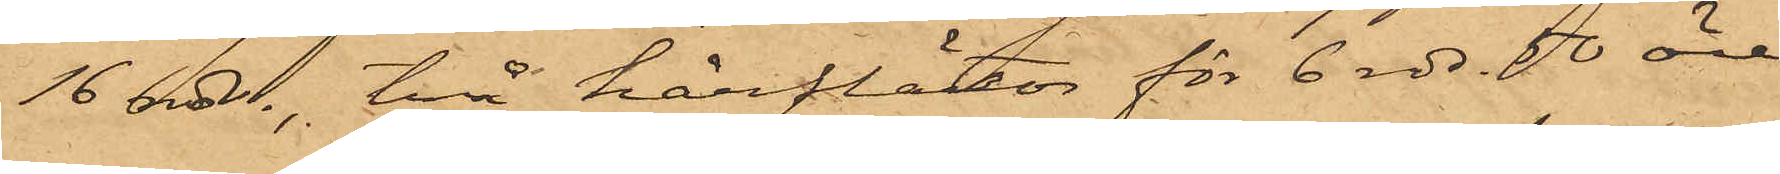16 rdr, två hårflätor för 6 rdr 50 öre,
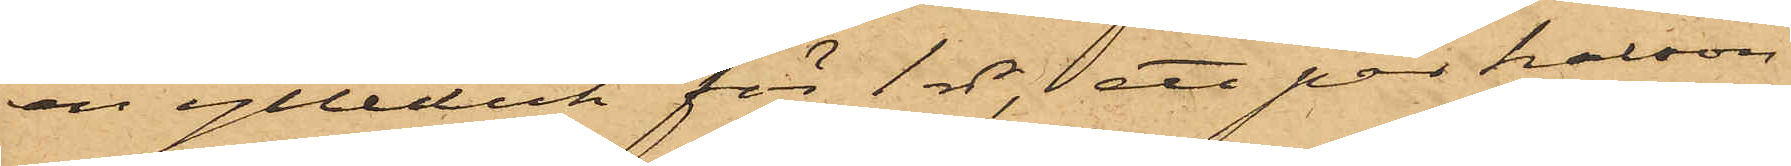en ylleduk för 1 rdr, ett par kalson¬
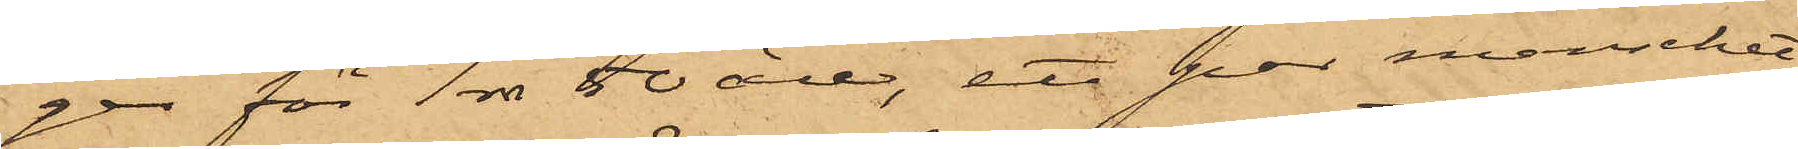ger för 1 rdr 50 öre, ett par manschet¬
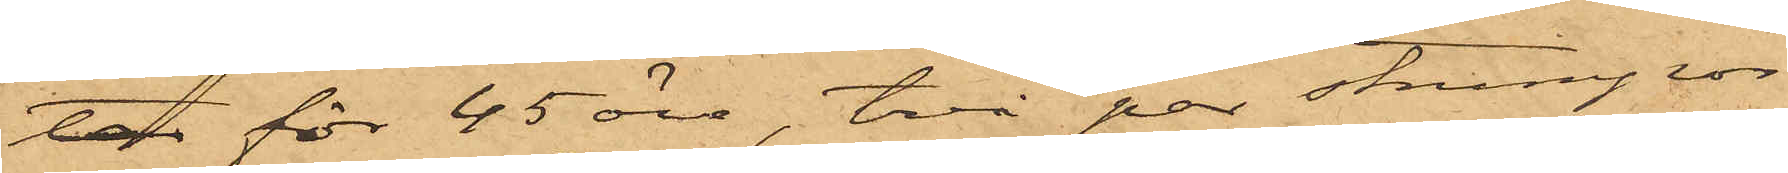ter för 45 öre, två par strumpor
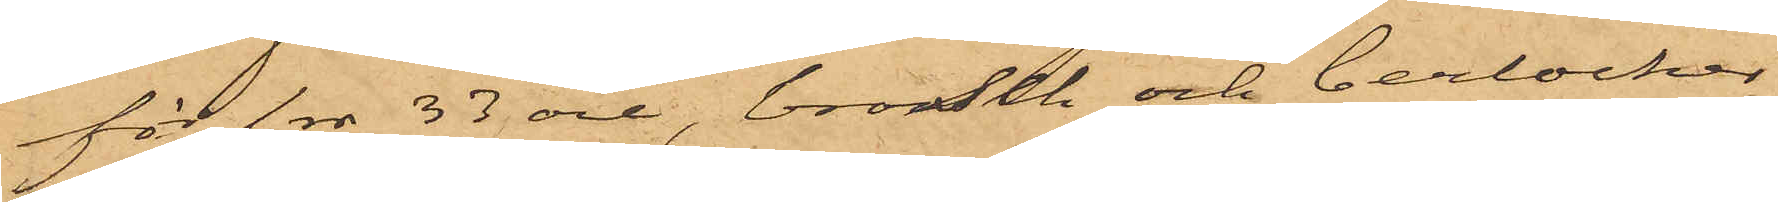för 1 rdr 33 öre, brosch och berlocker
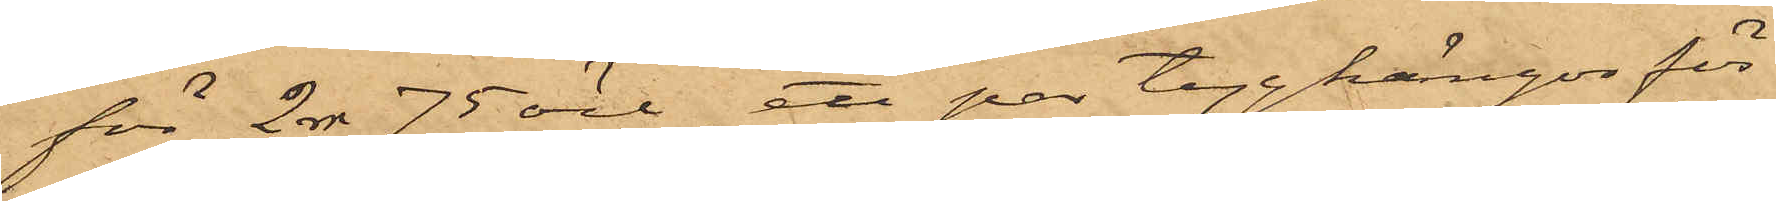för 2 rdr 75 öre, ett par tygkängor för
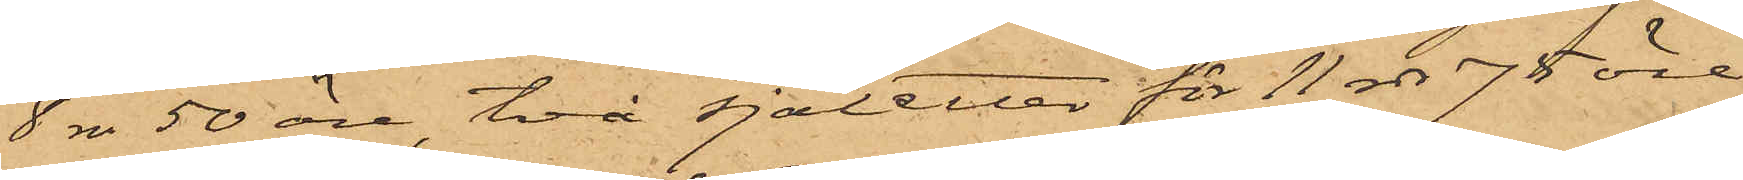8 rdr 50 öre, två sjaletter för 11 rdr 75 öre,
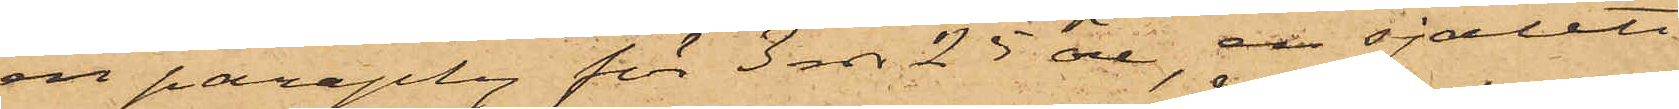en paraply för 3 rdr 25 öre, en sjalett
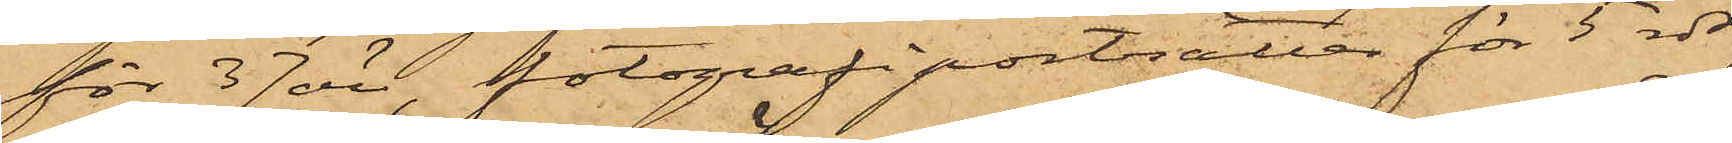för 37 öre, fotografiporträtter för 5 rdr,
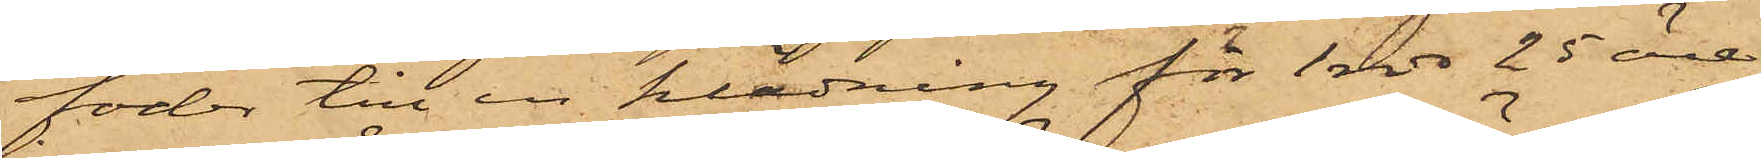foder till en klädning för 1 rdr 25 öre,
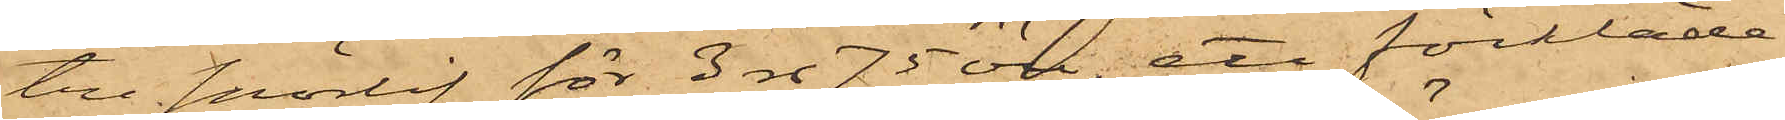tre snörlif för 3 rdr 75 öre, ett förkläde
